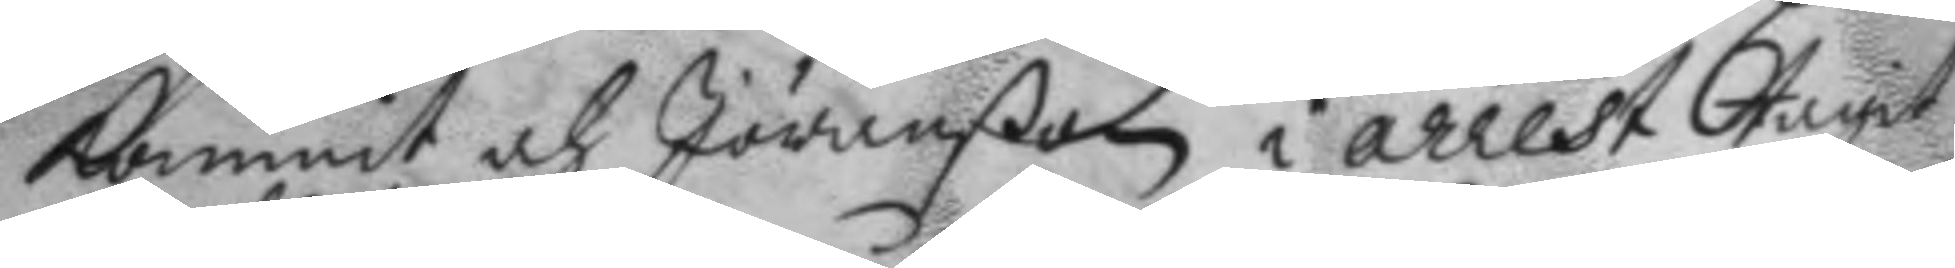kommit och Jöranßon i arrest tagit
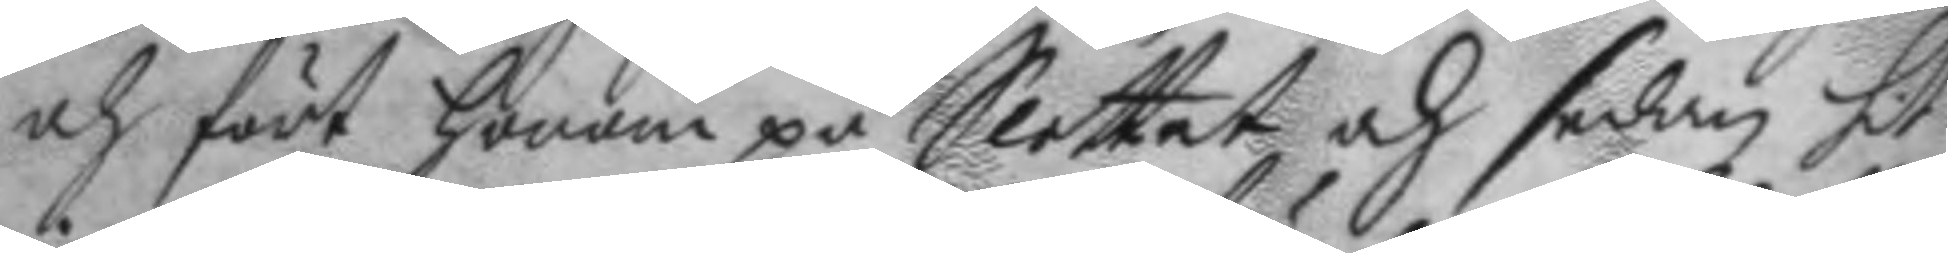och fört honom på Slottet och sedan hit
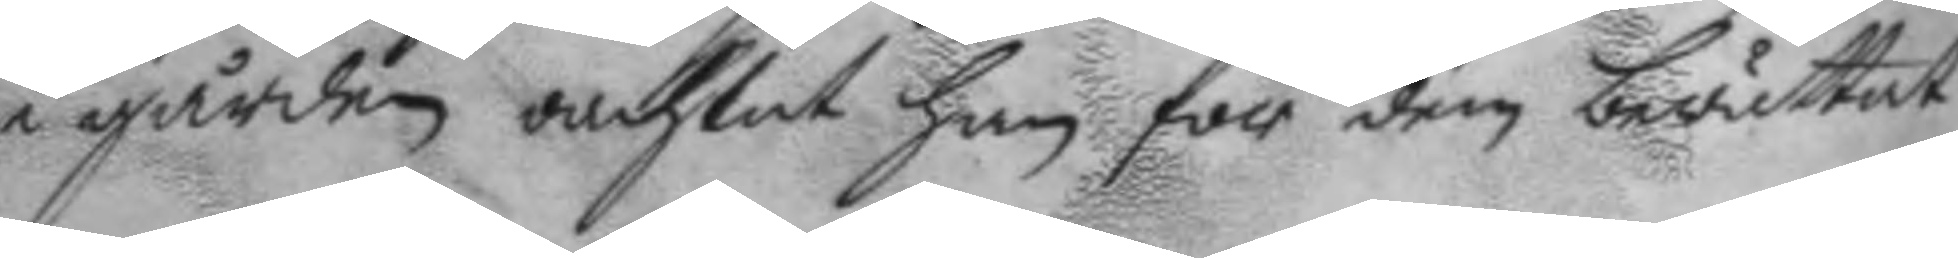i gården oachtat han för de berättat
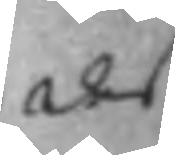des
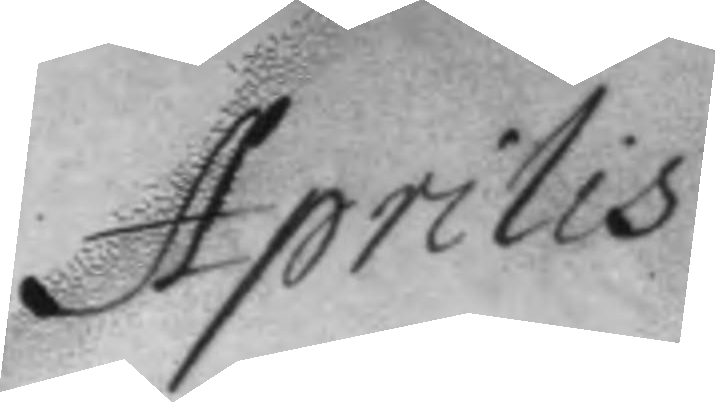Aprilis
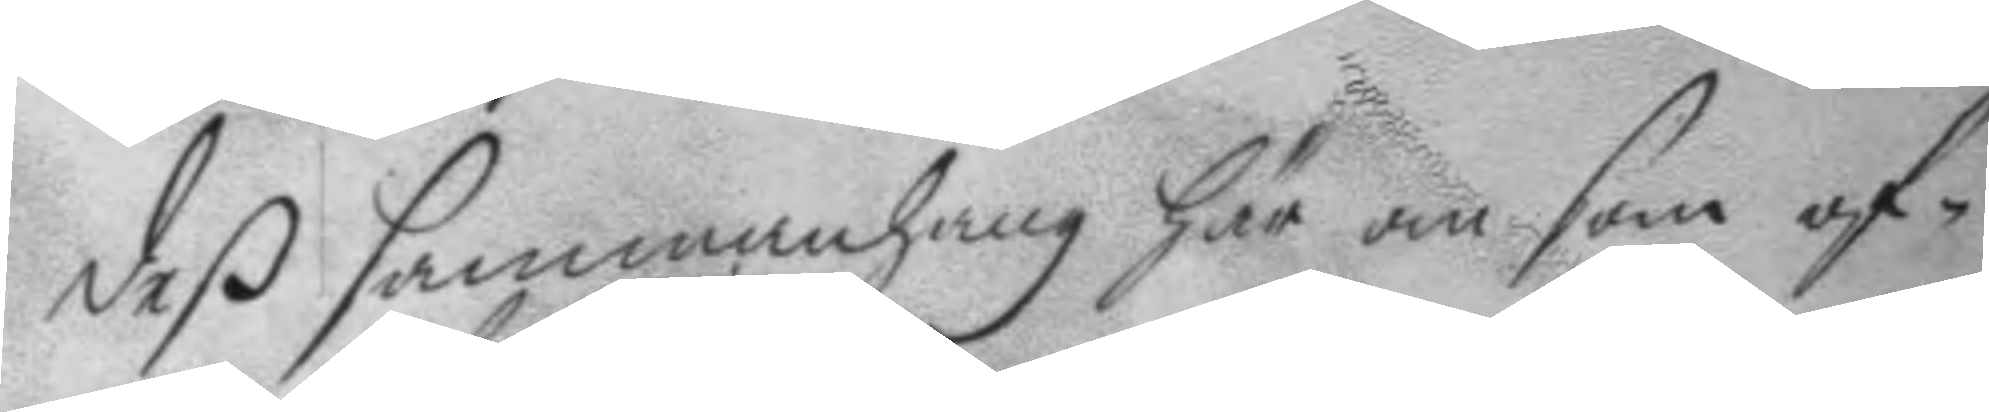deß sammanhang här om som of¬
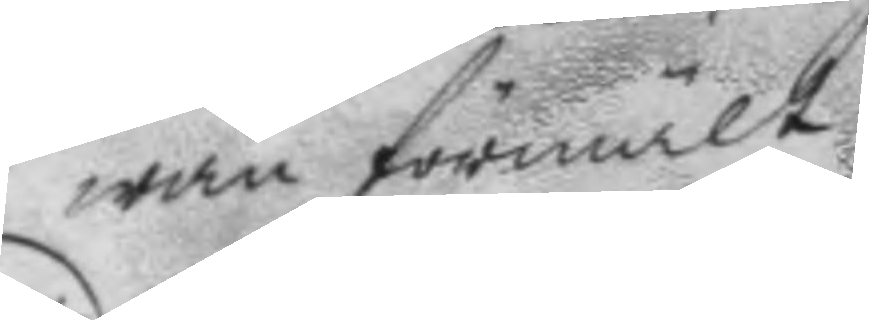wab förmält.
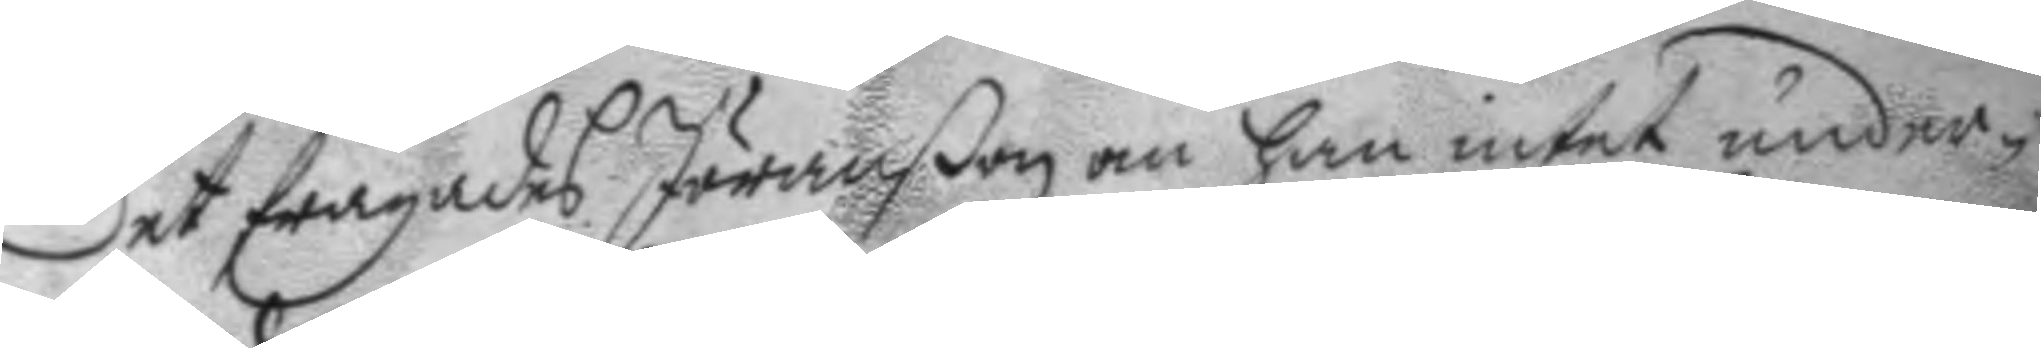Det frågades Jöranßon om han intet under¬
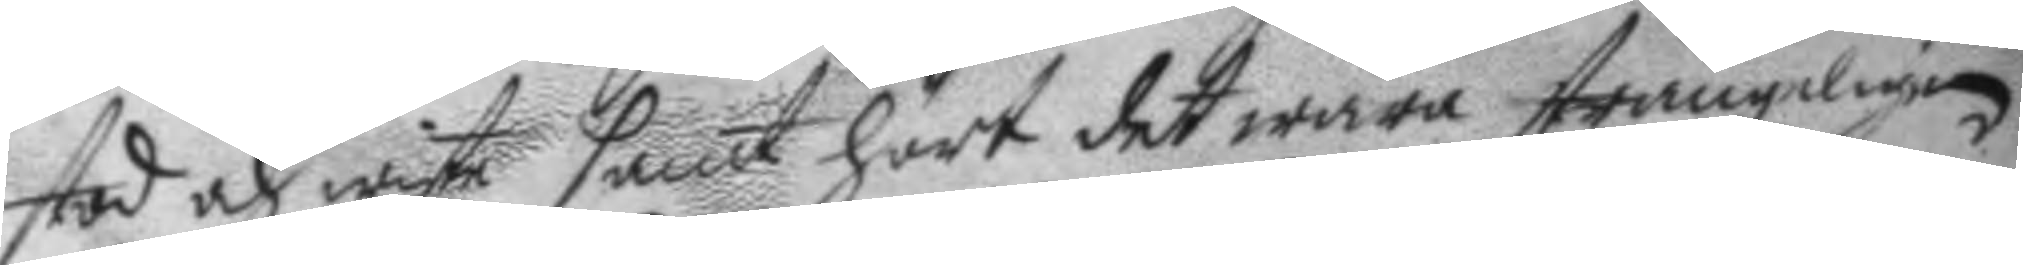stod och wiste samt hört det wara strängeligen
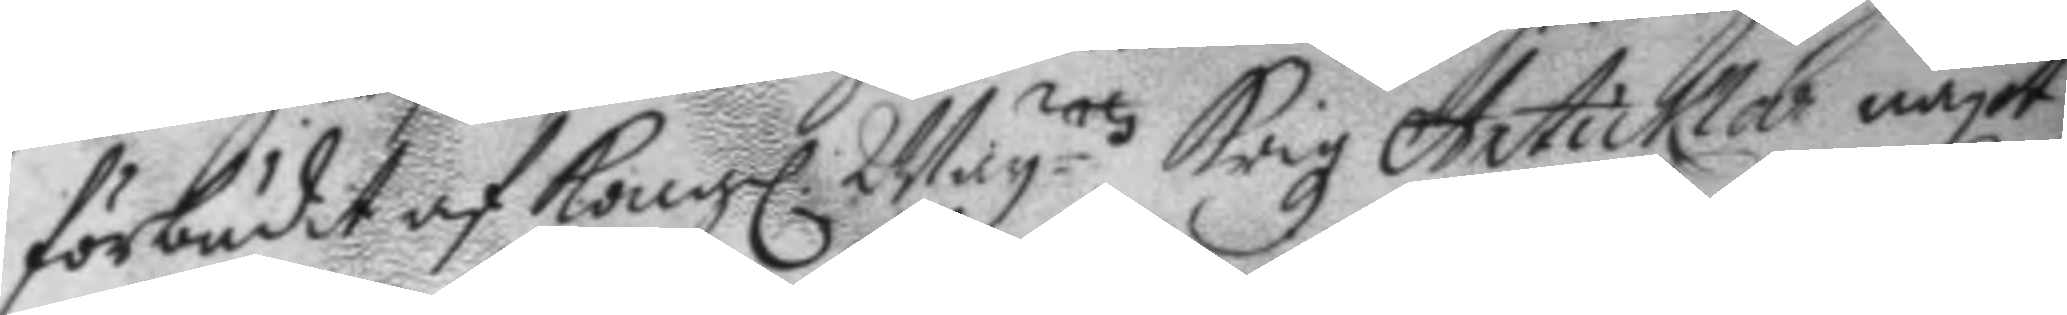förbudit af Kongl. May.ttz Krigz Articklar något
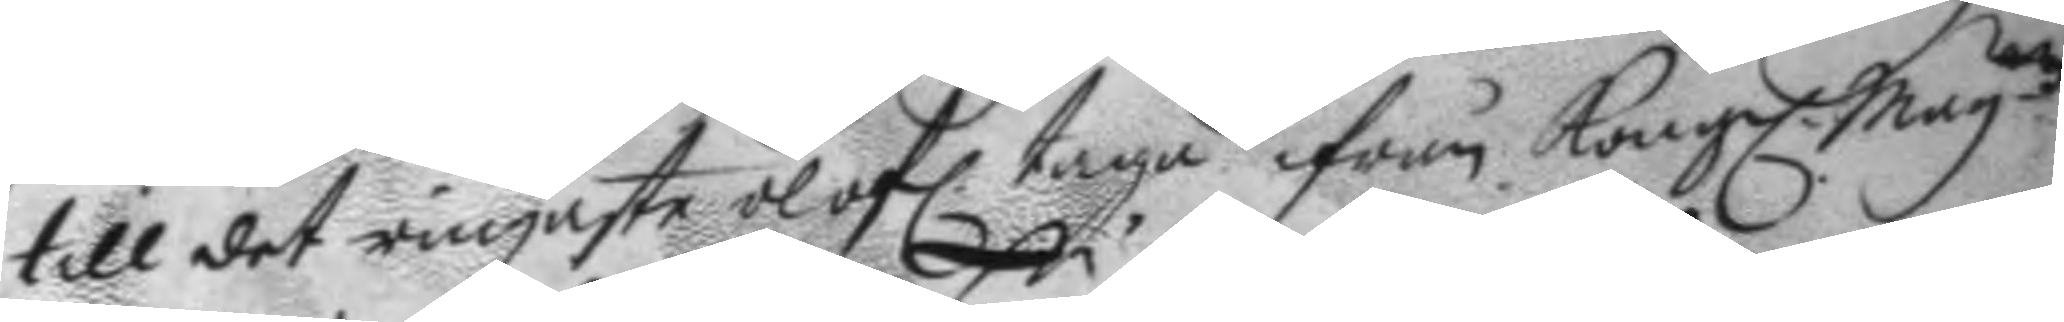till det ringaste olofl. taga ifrån Kongl. May.ttz
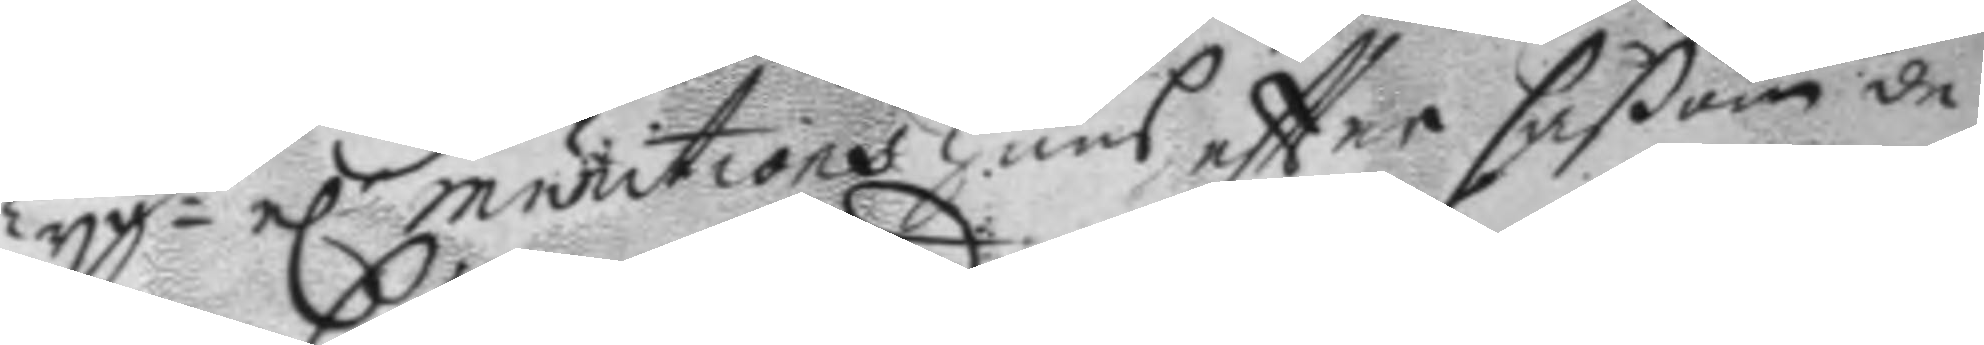Tyg- el.r munitionshuus eftter såßom de
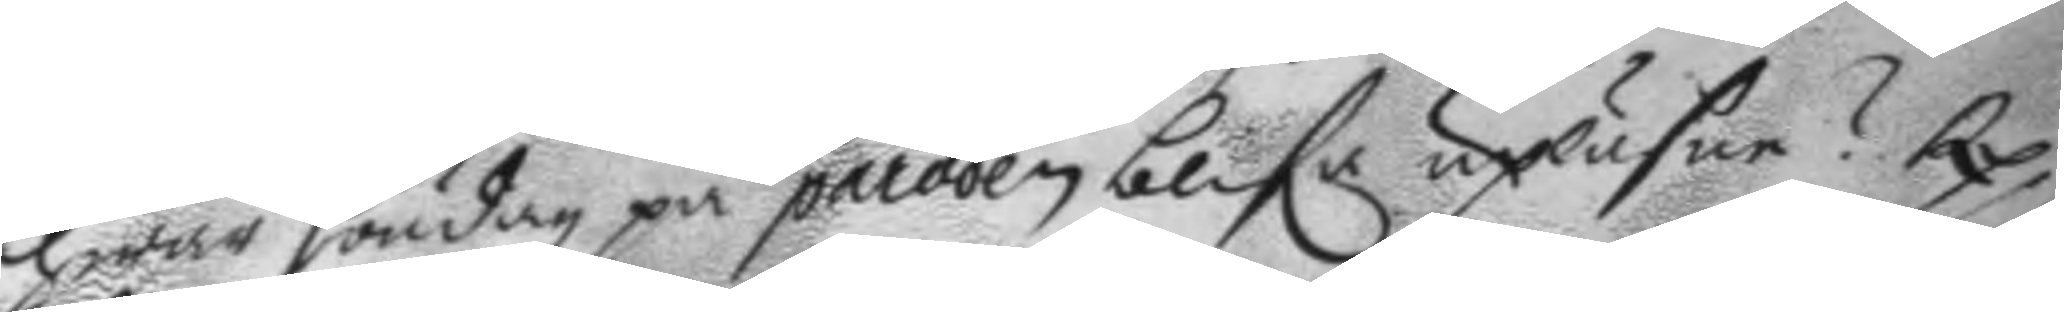hwar söndag på paraden blefe upsäsen? Rp.
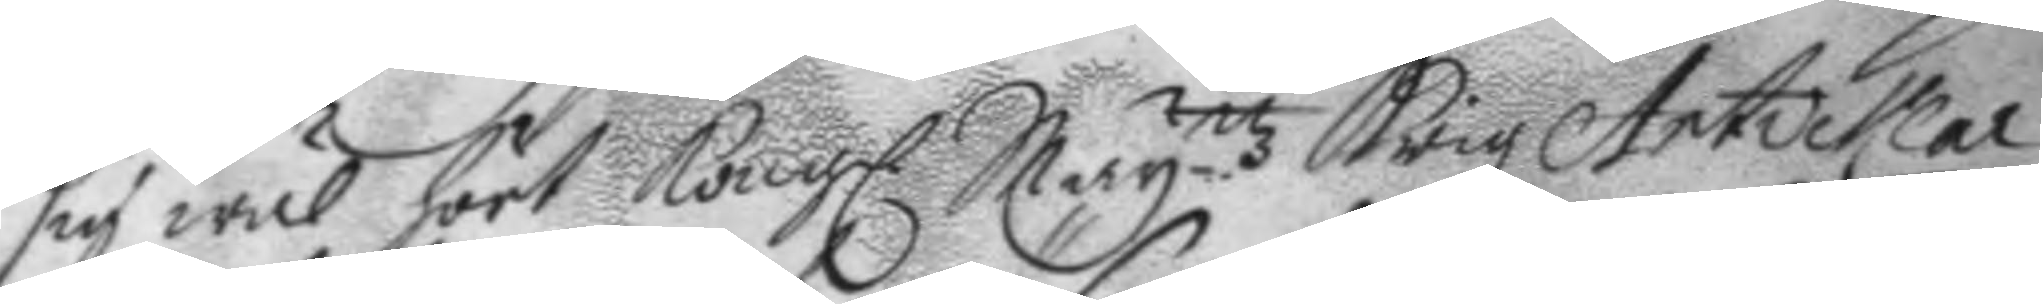sig wäl hört Kongl. May.ttz Krigz Articklar
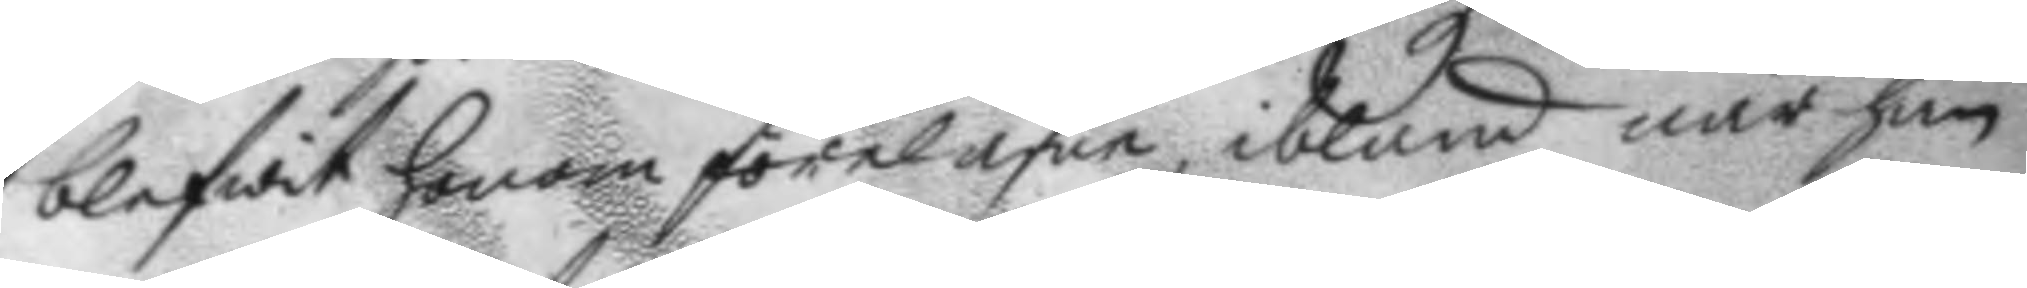blifwit honom förläsne, ibland när han
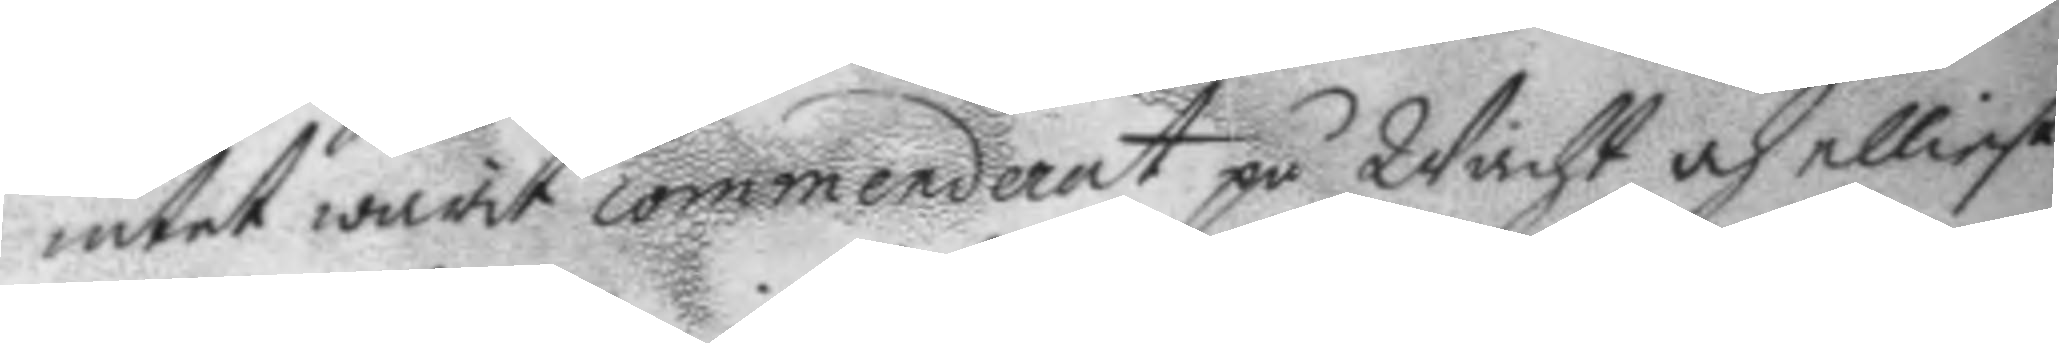intet warit commenderat på Wacht och elliest
